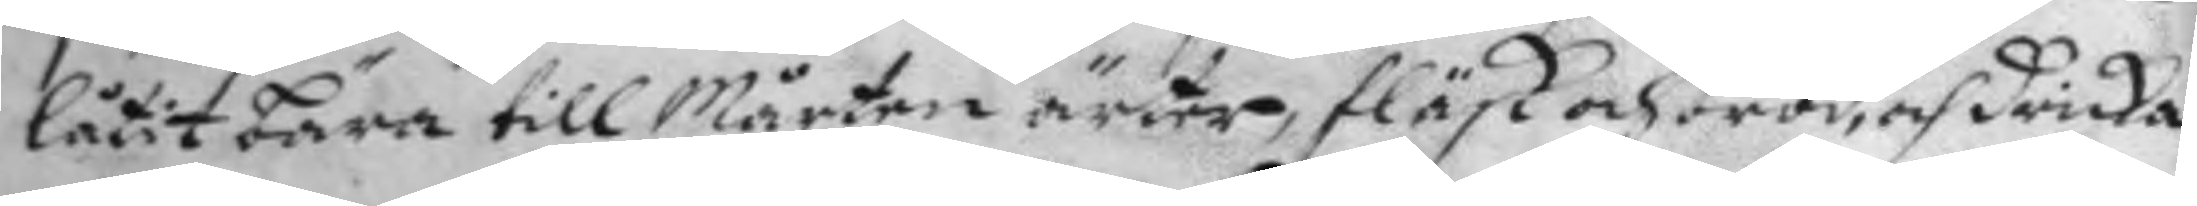låtit bära till Mårten ärter, fläsk och bröd, och dricka
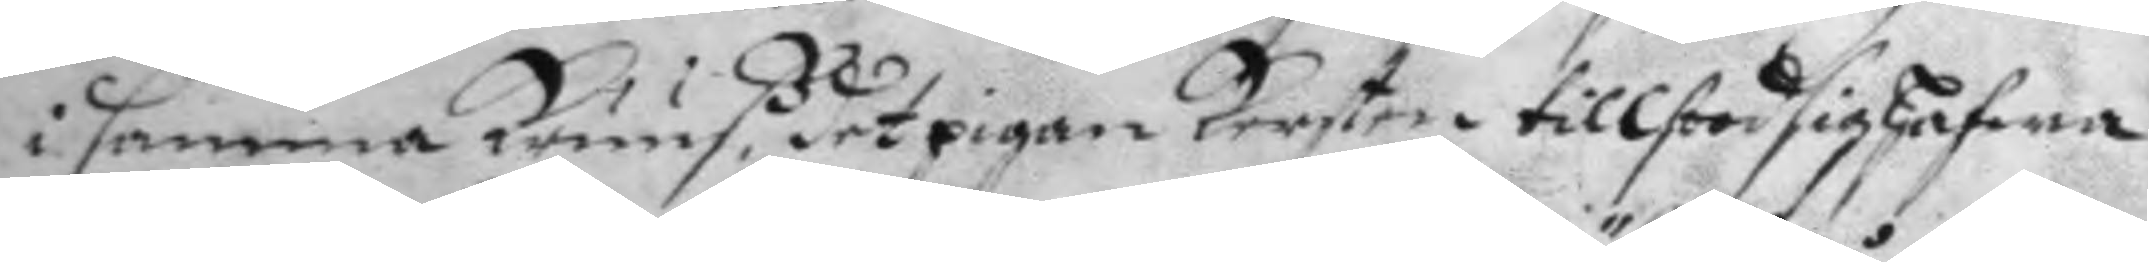i samma kruuß, det pigan kersten tillstod sig hafwa
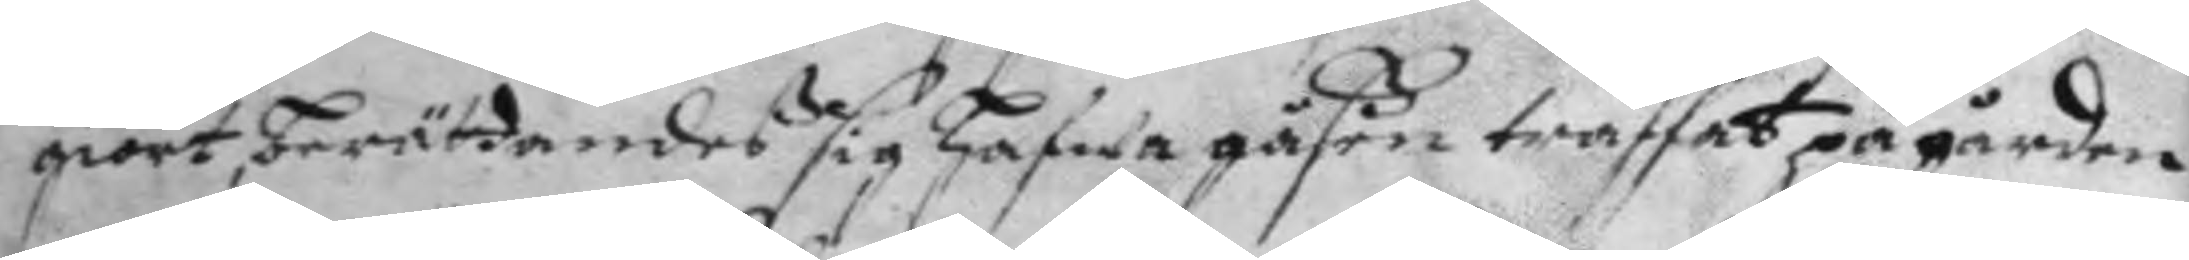giort, berättandeß sig hafwa gåßen träffat på gården
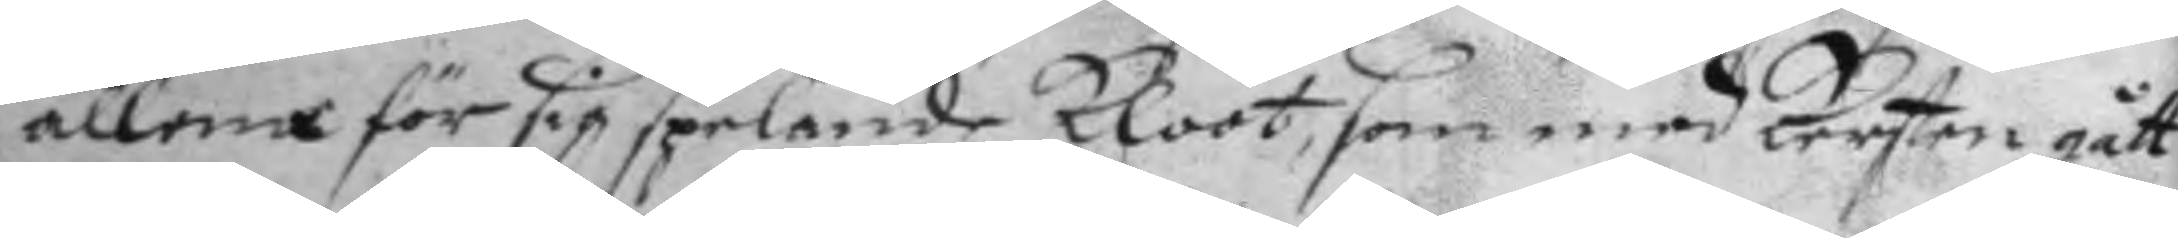allena för sig spelande kloot, som med kersten gått
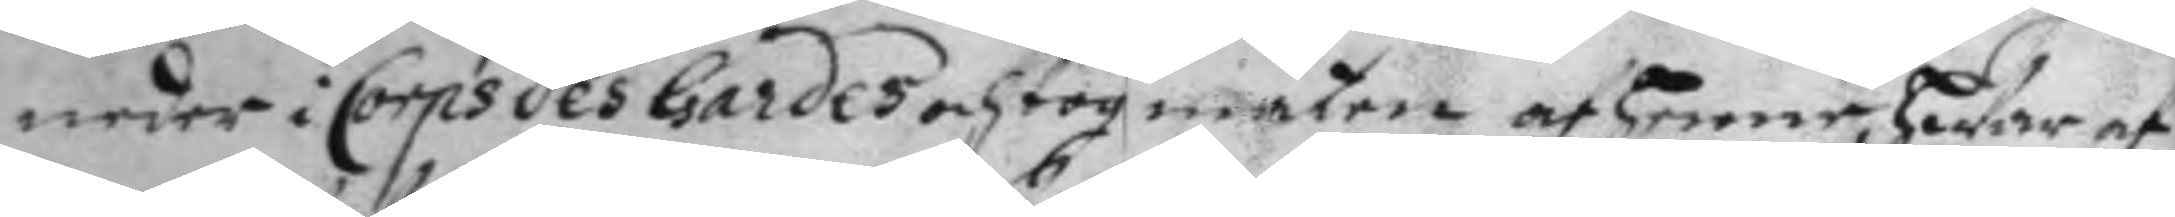neder i Corps des gardes och tog maten af henne hWar af
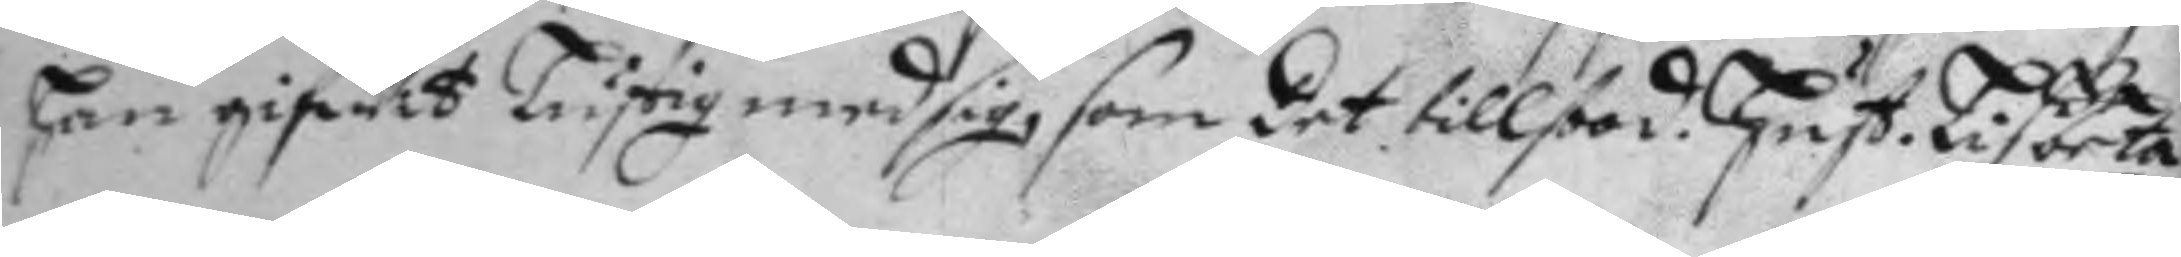han gifWit Lustig med sig, som det tillstod. hust. Lisbeta
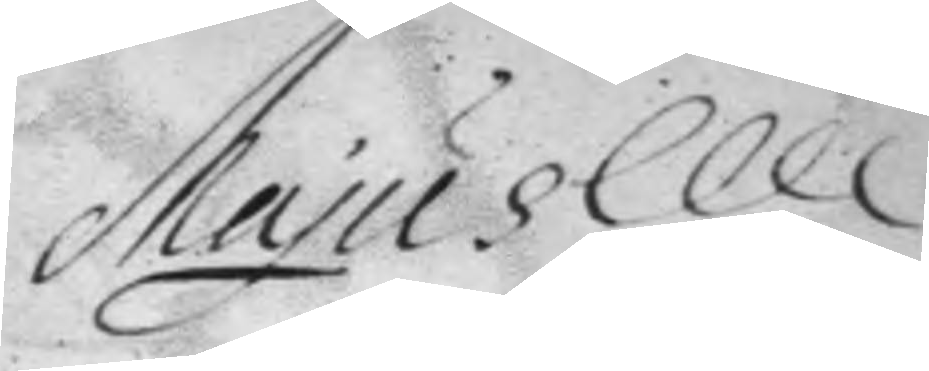Majus
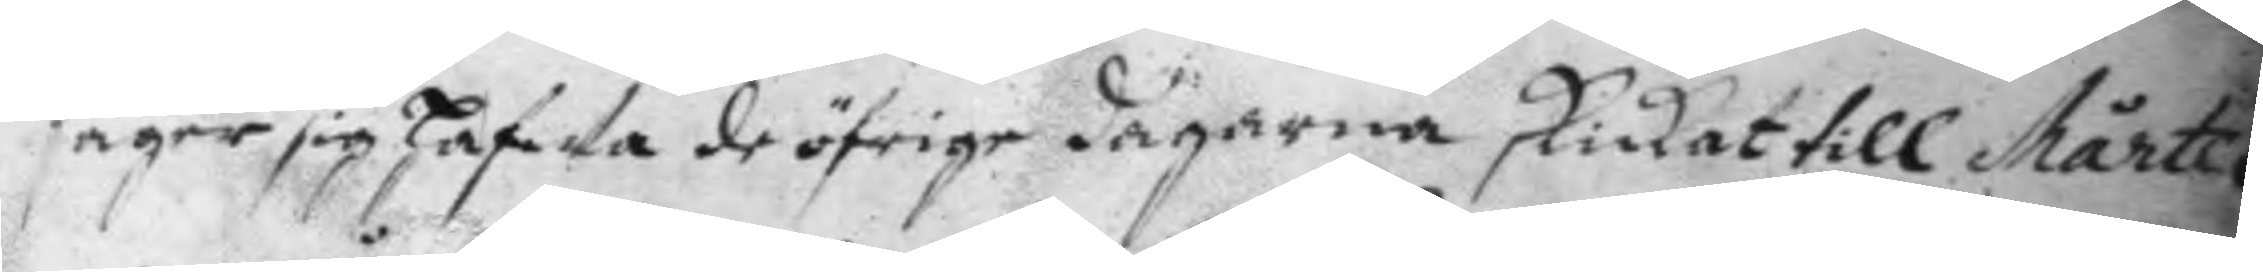säger sig hafWa de öfrige dagarna skickat till Mårten
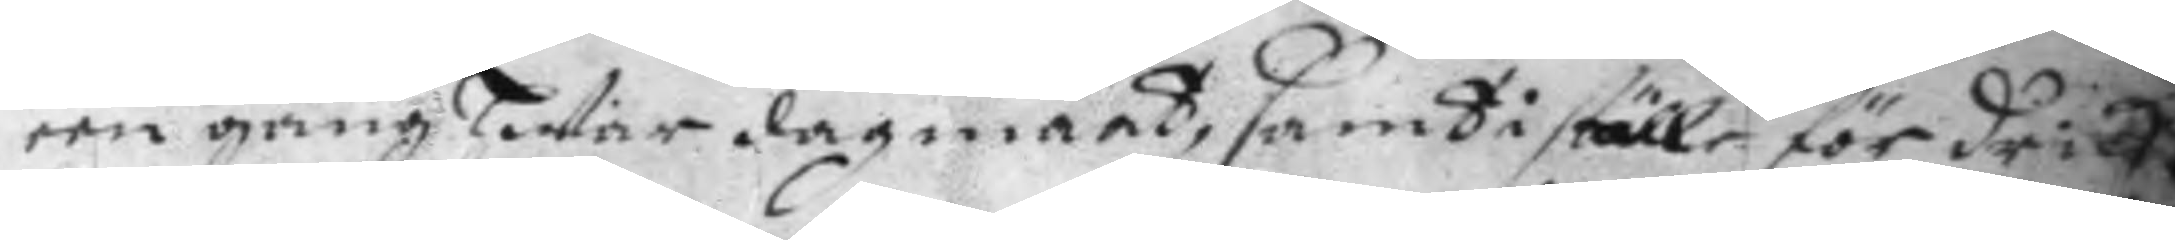een gång hwar dagmaat, samt i ställe för dricka
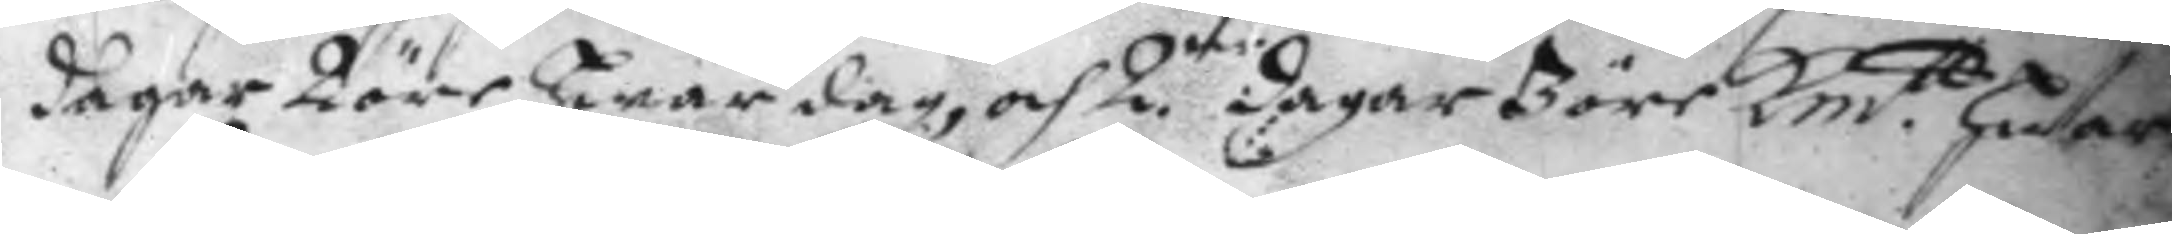dagar 2 öre hwar dag, och 2ne dagar 3 öre Km.tt hwar
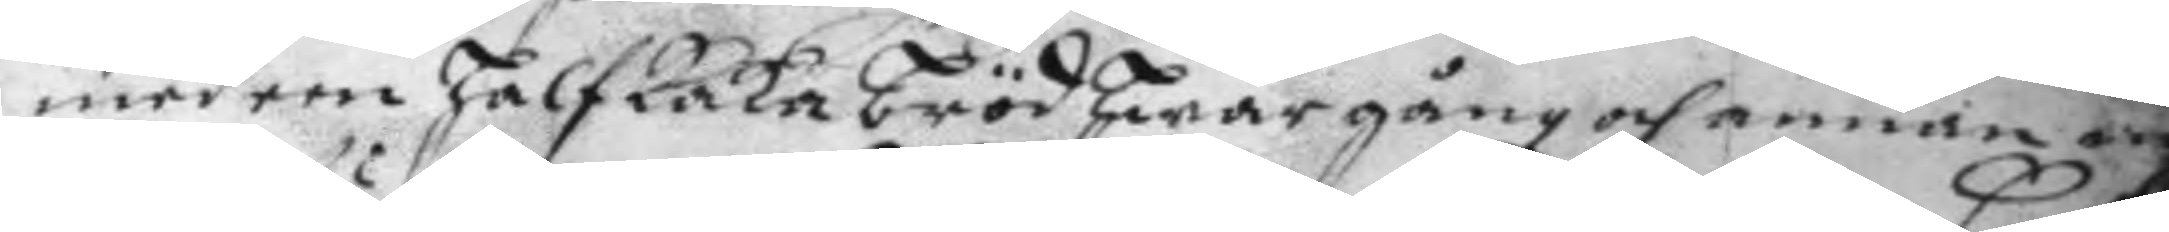med een halfkaka bröd hwar gång och annan 
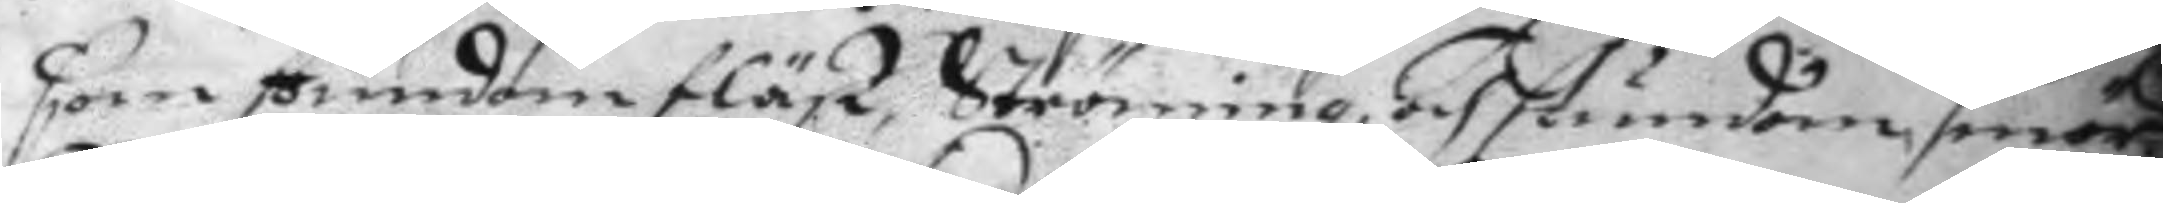som stundom fläsk, Ströming, och stundom smör
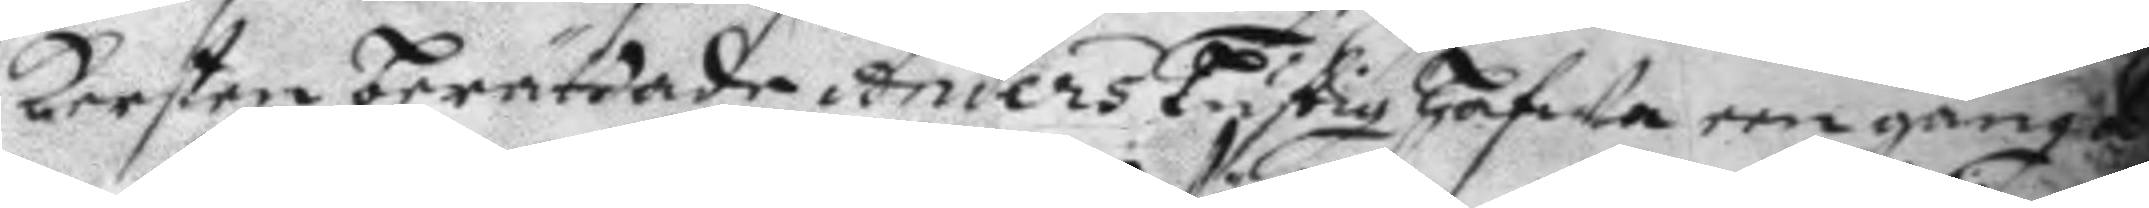Kersten berättade Anders Lustig hafWa een gång
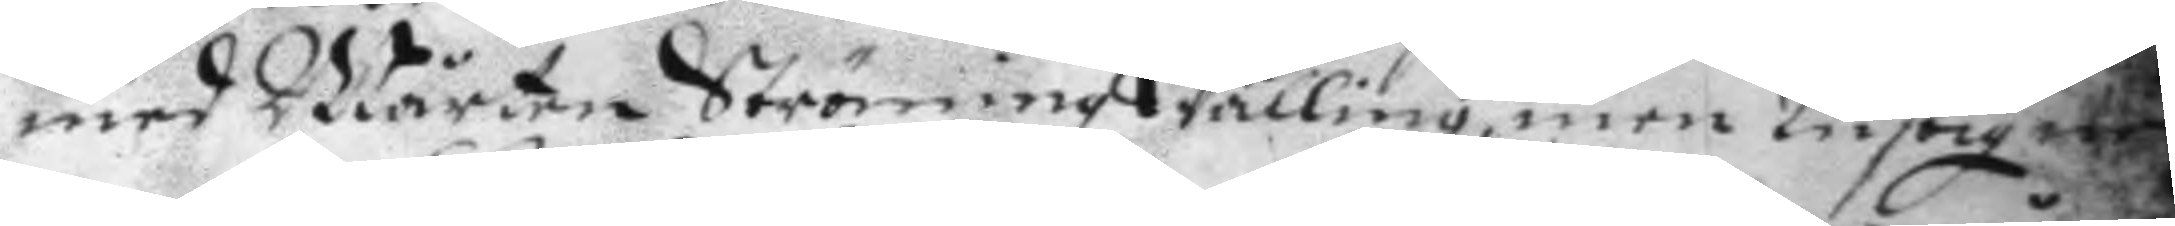med Mårten Ströming Wälling, men Lustig ne¬
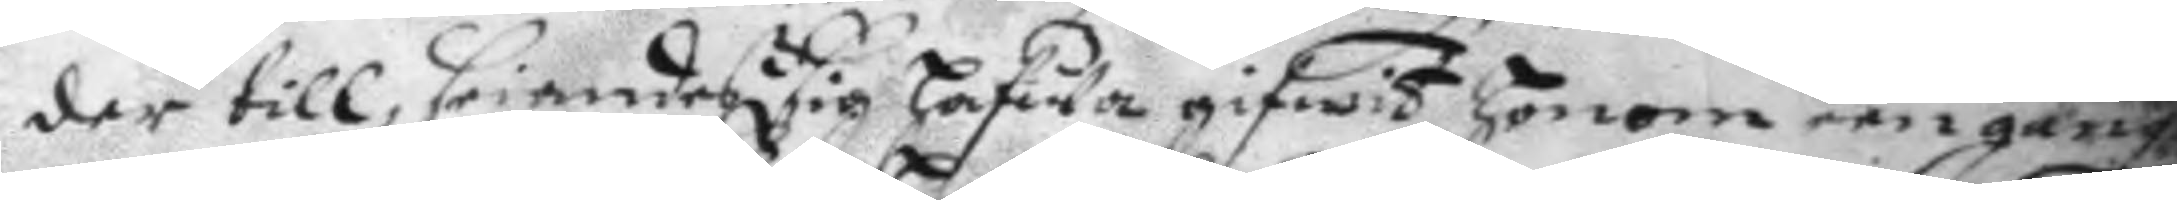der till. Erindreß sig hafWa gifwit honom een gång
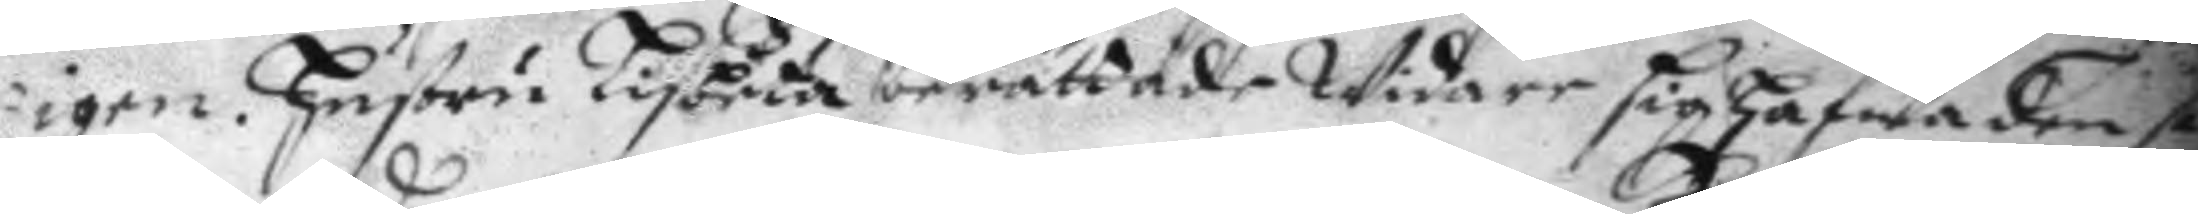igen. hustru Lisbeta berättade Widare sig hafwa den se
